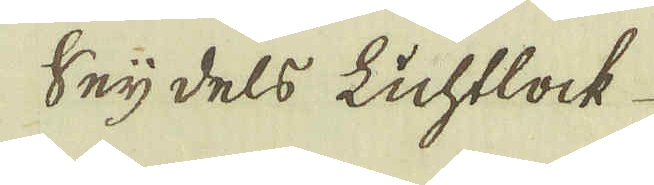Seijdels Lichtlock
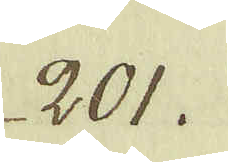201.
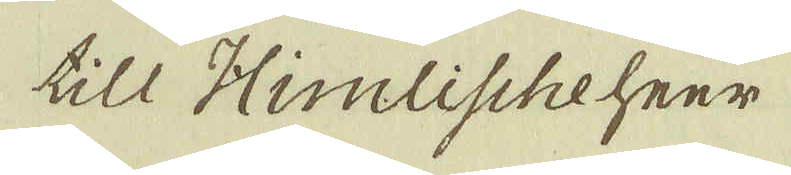till Himlischeheer
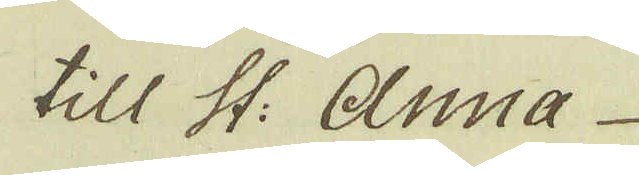till St: Anna
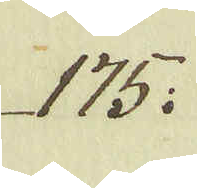175:
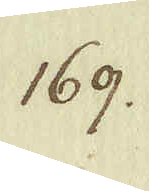169.
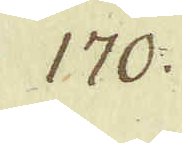170:
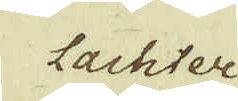lachter
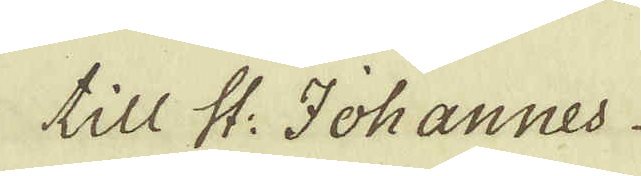till St: Johannes
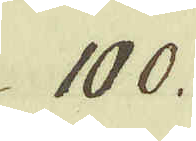100.
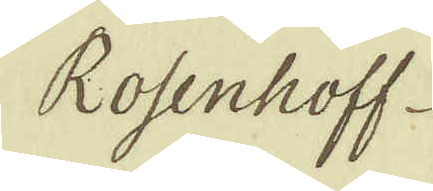Rosenhoff
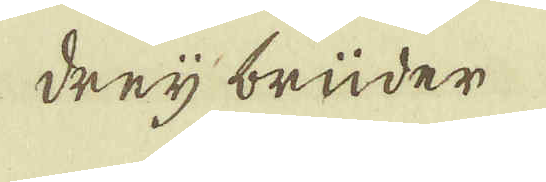dreij brüder
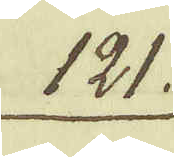121.
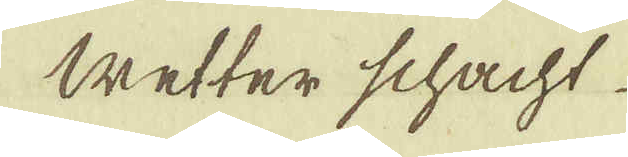Wetter schacht
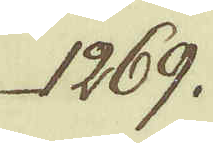1269.
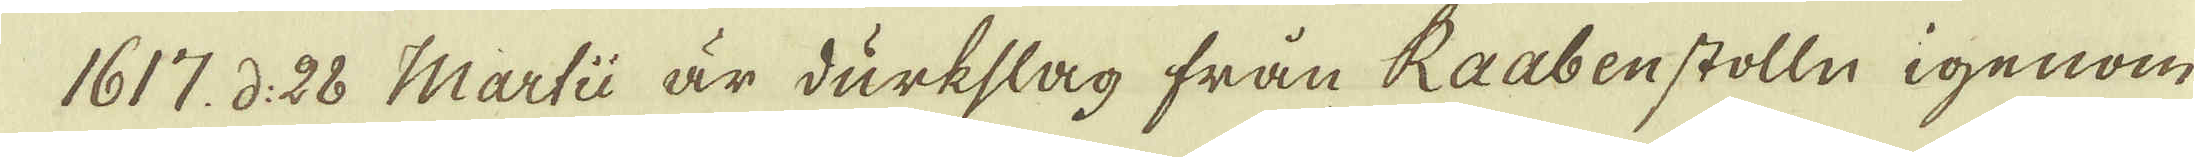1617. d: 28 Martii är durkslag från Raabenstolln igenom
